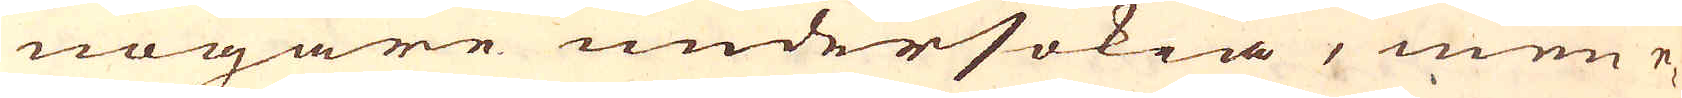nogare undersökia, men e-
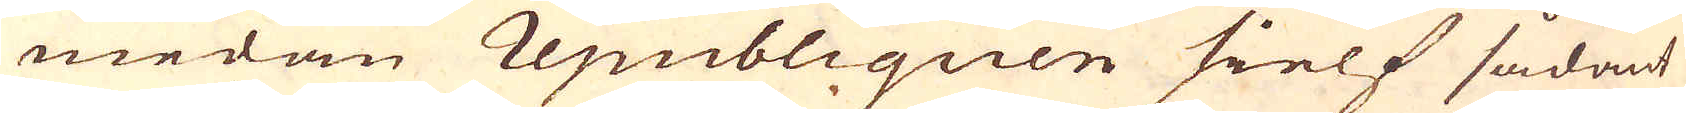medan republiquen sielf sådant
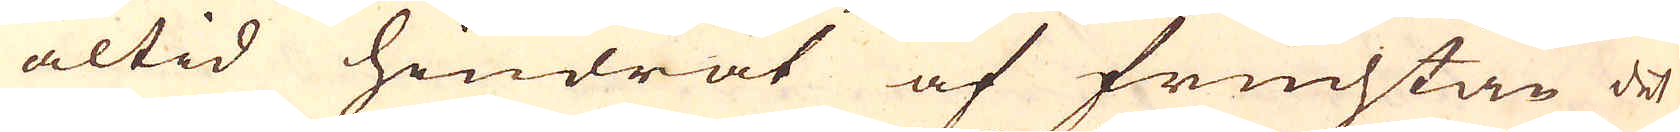altid hindrat af fruchtan det
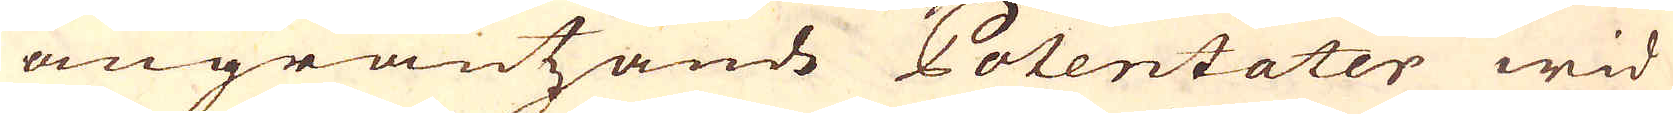angräntzande Potentater wid
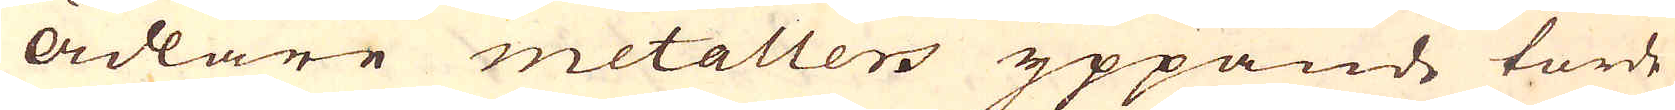ädlare metaller yppande torde
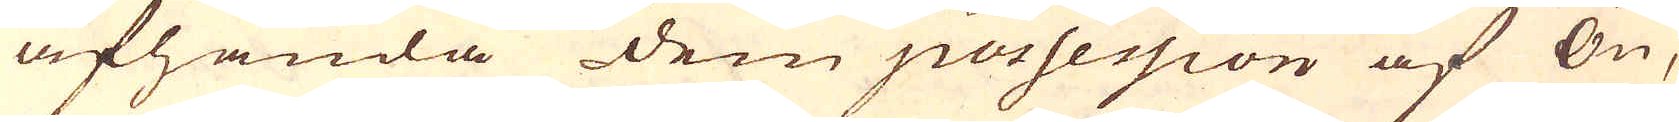afhanda dem possession af Ön,
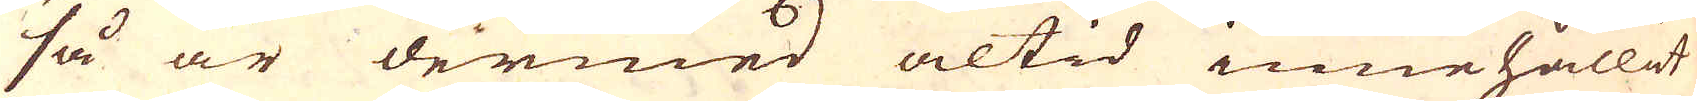så är dermed altid innehållit
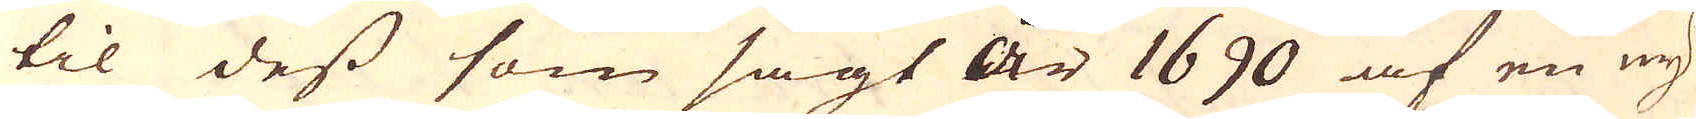til dess som sagt år 1690 af en ny
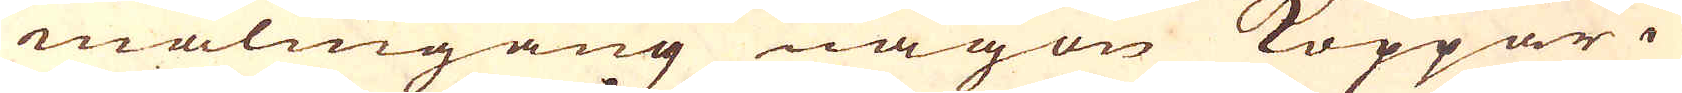malmgång någon Koppar i
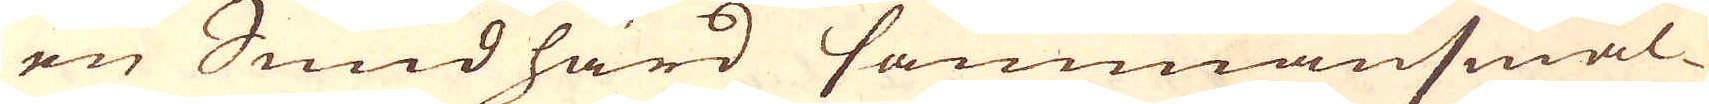en Smidhärd sammansmäl-
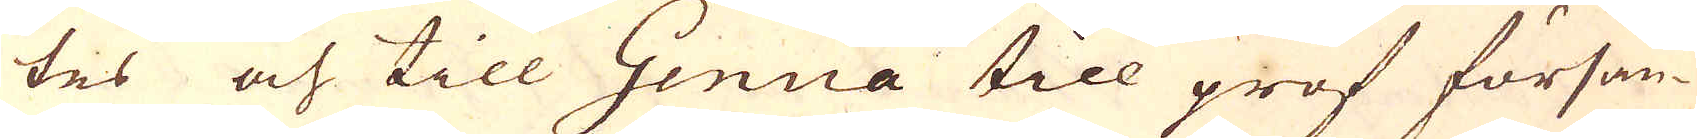tes och till Genua till prof försän-
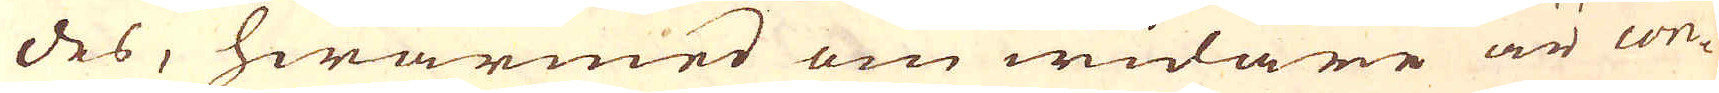des, hwarmed om widare är con-
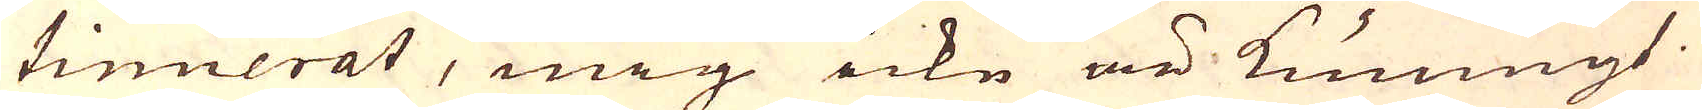tinuerat, mig icke är kunnigt.
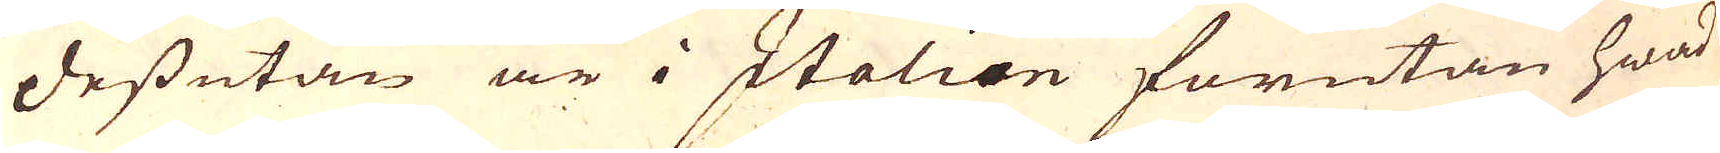Dessutan är i Italien förutan hwad
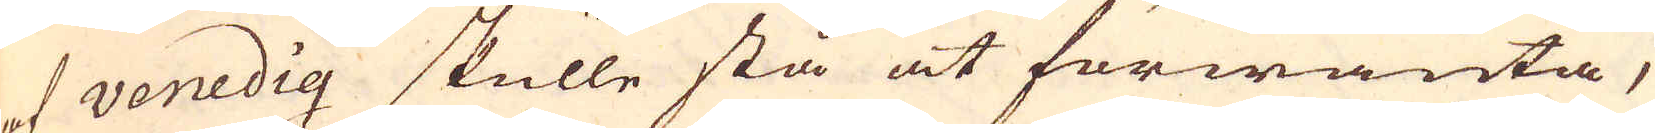af venedig skulle stå at förwänta,
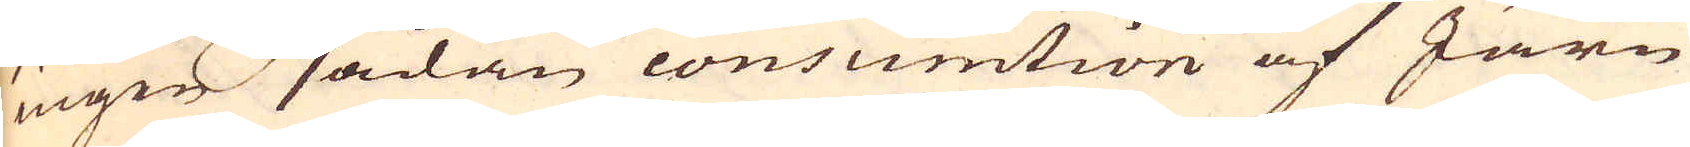ingen sådan consumtion af Järn
